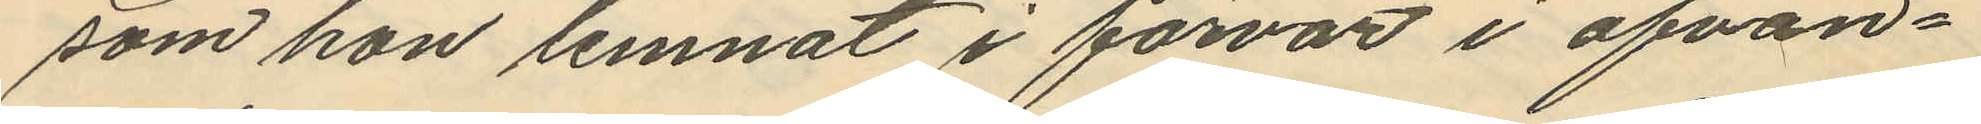som hon lemnat i förvar i ofvan¬
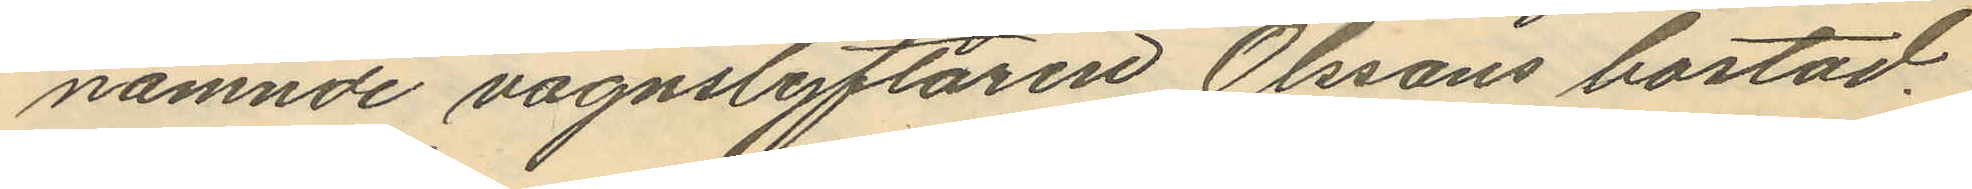nämnde vagnslyftaren Olssons bostad.
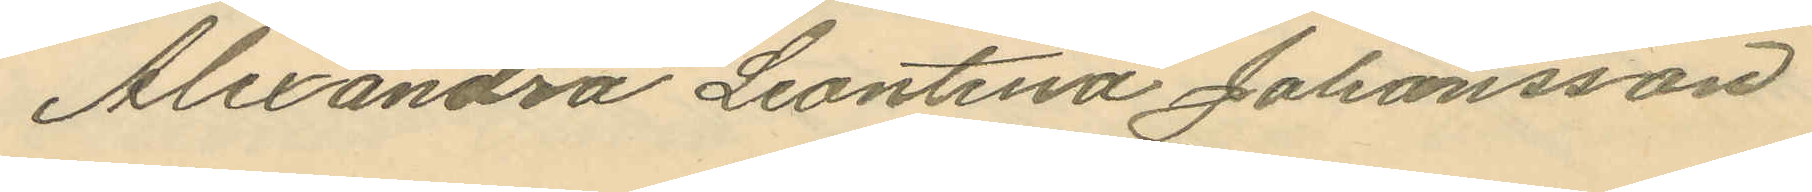Alexandra Leontina Johansson
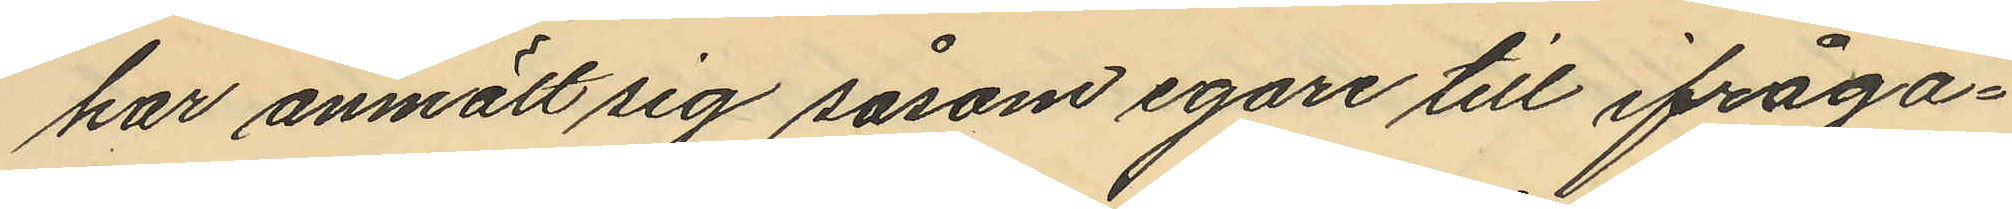har anmält sig såsom egare till ifråga¬
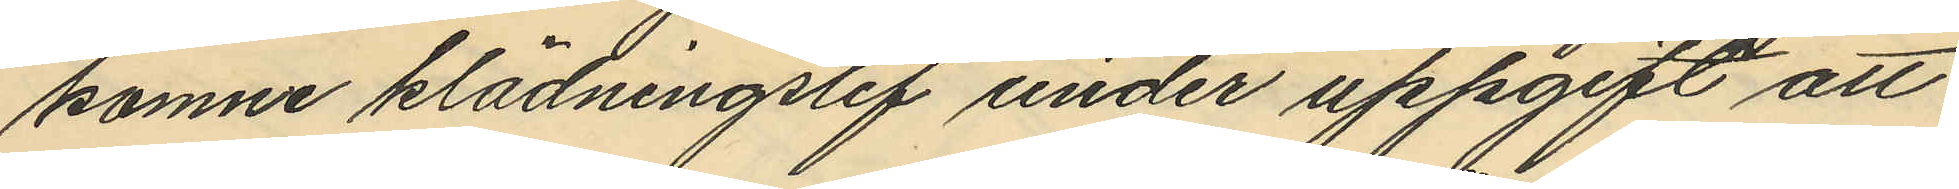komne klädningslif under uppgift att
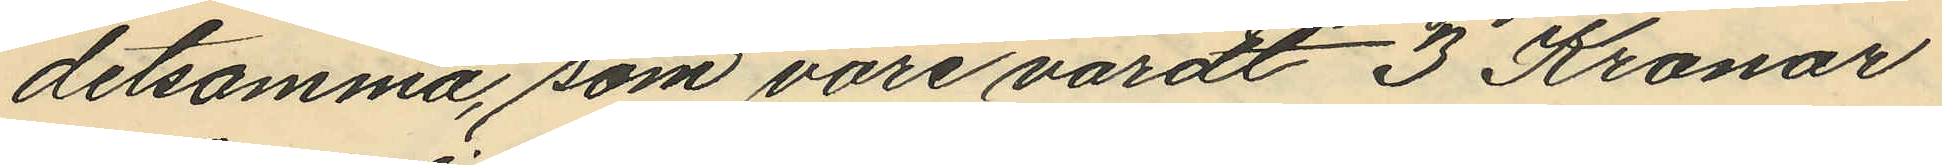detsamma, som vore värdt 3 Kronor
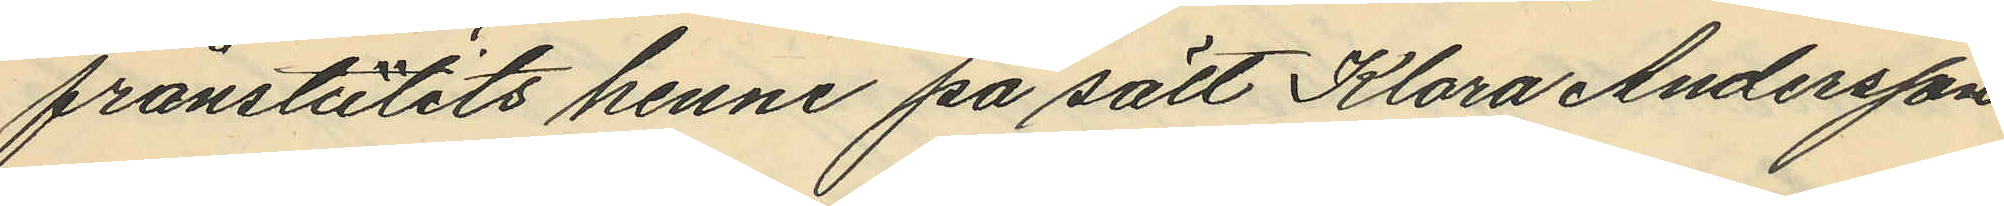frånstutits henne på sätt Klara Andersson
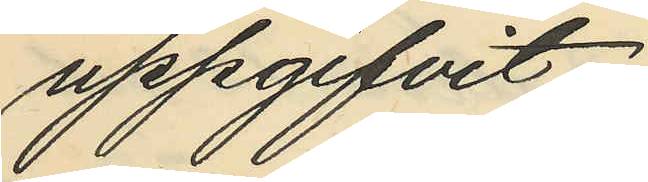uppgifvit.
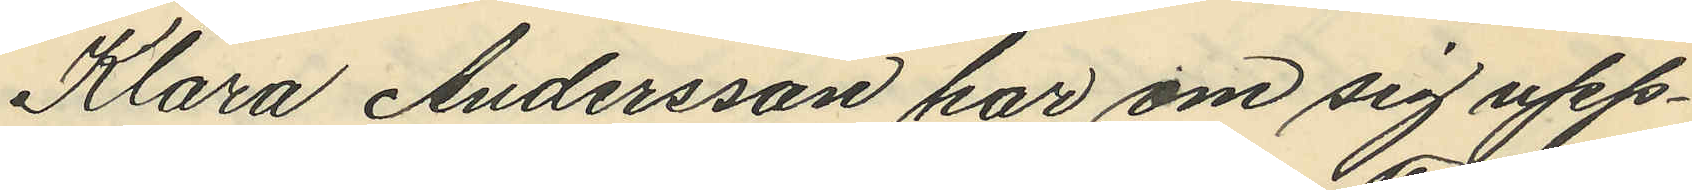Klara Andersson har om sig upp¬
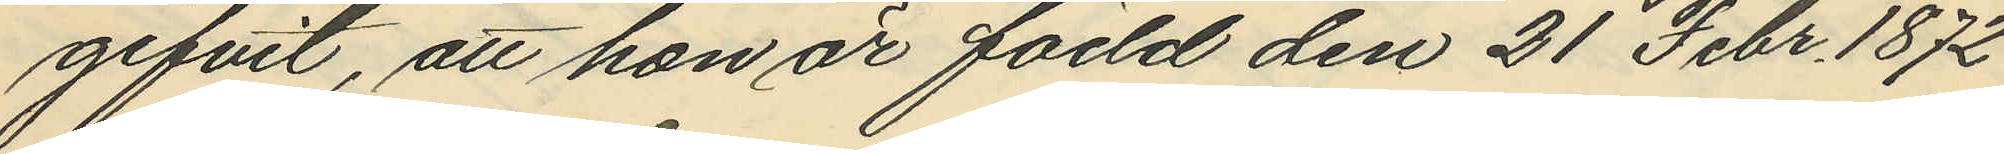gifvit, att han är född den 21 Febr. 1872
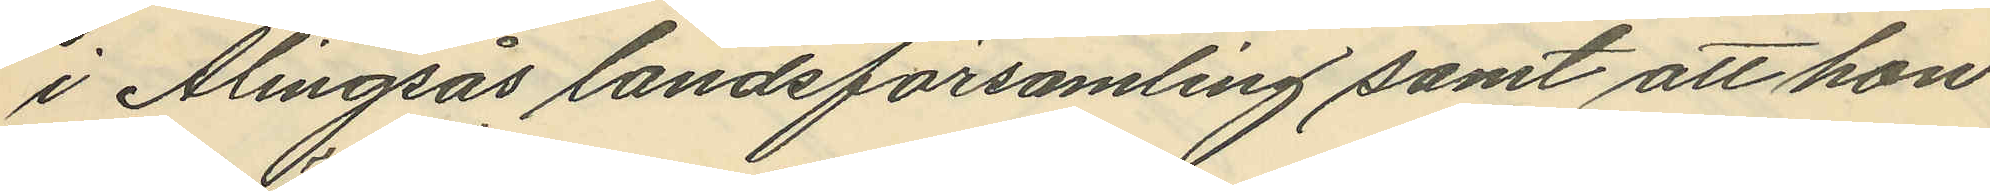i Alingsås landsförsamling samt att hon
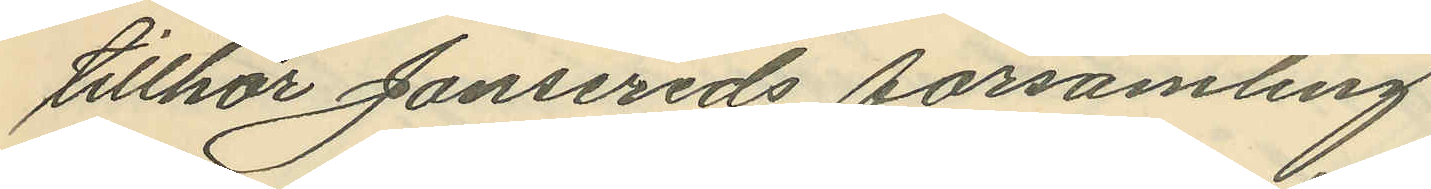tillhör Jonsereds församling
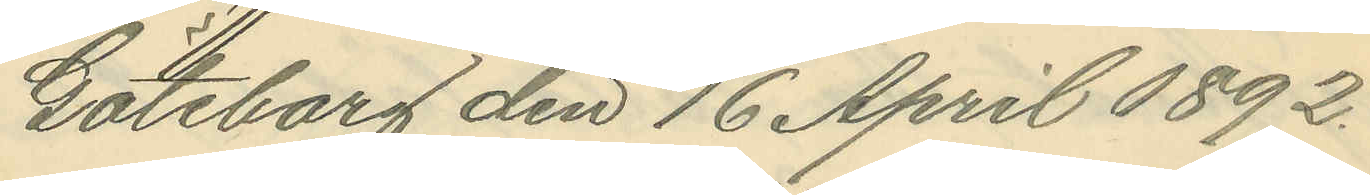Göteborg den 16 April 1892.
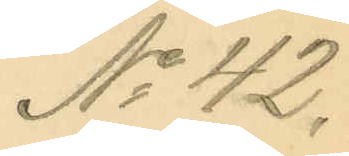No 42.
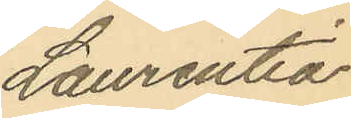Laurentia
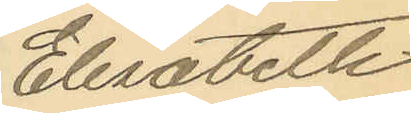Elisabeth
